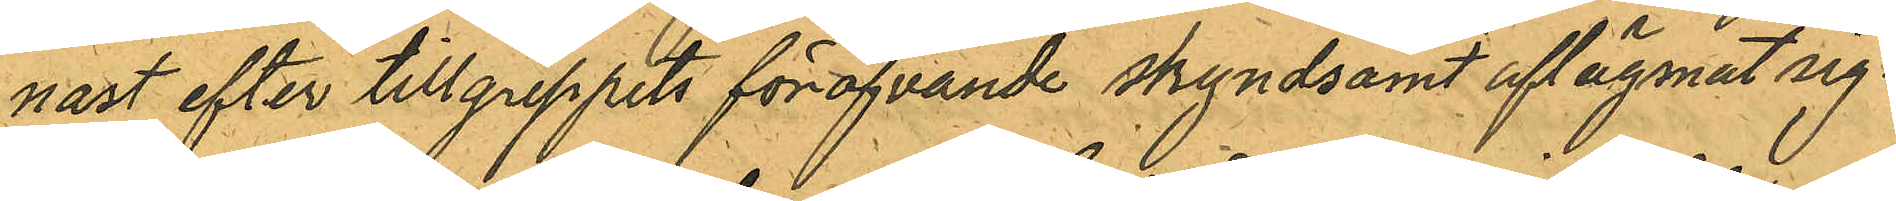nast efter tillgreppets föröfvande skyndsamt aflägsnat sig.
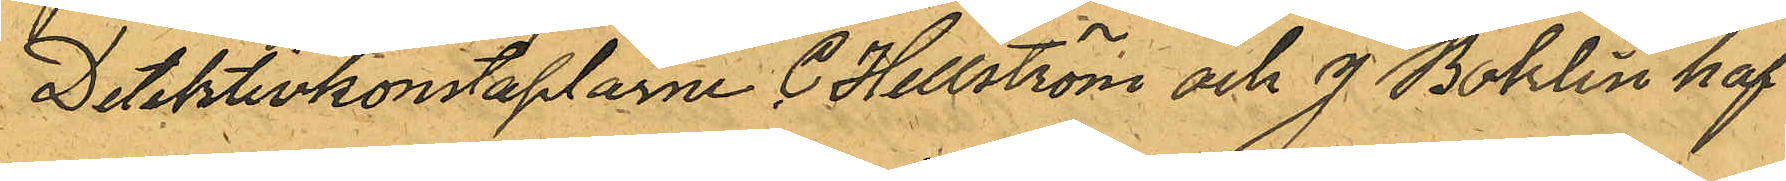Detektivkonstaplarne C. Hellström och J. Bohlin haf¬
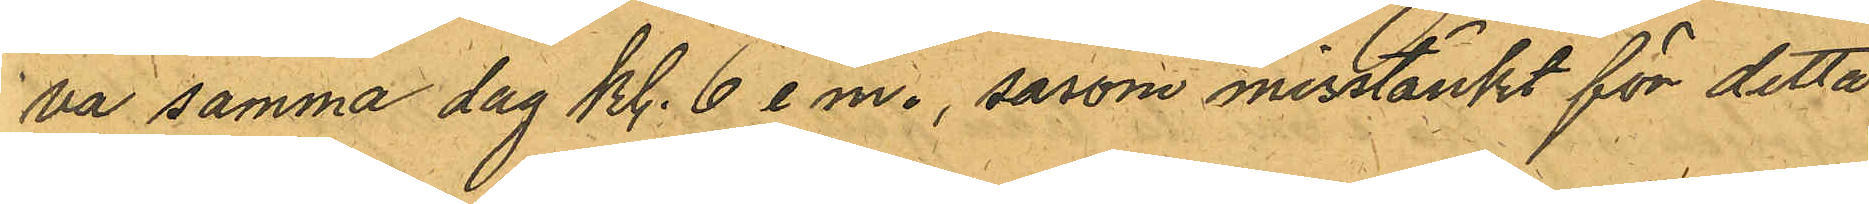va samma dag kl. 6 e m., såsom misstänkt för detta
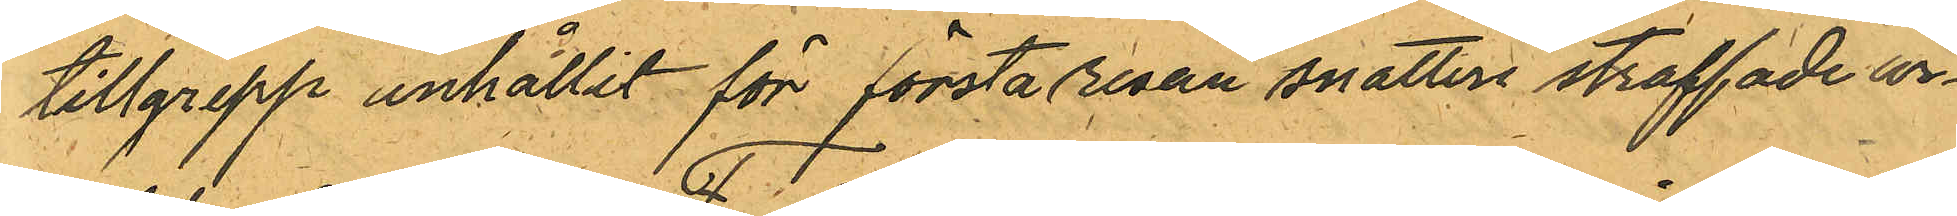tillgrepp anhållit för första resan snatteri straffade ar¬
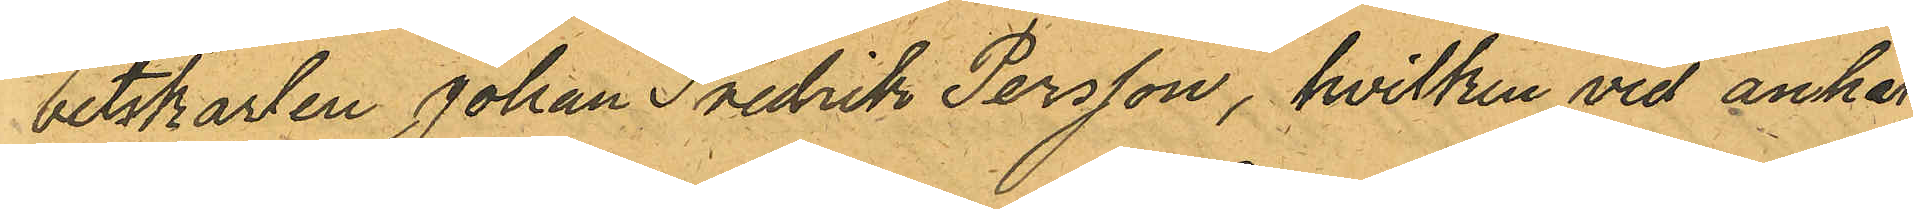betskarlen Johan Fredrik Persson, hvilken vid anhål¬
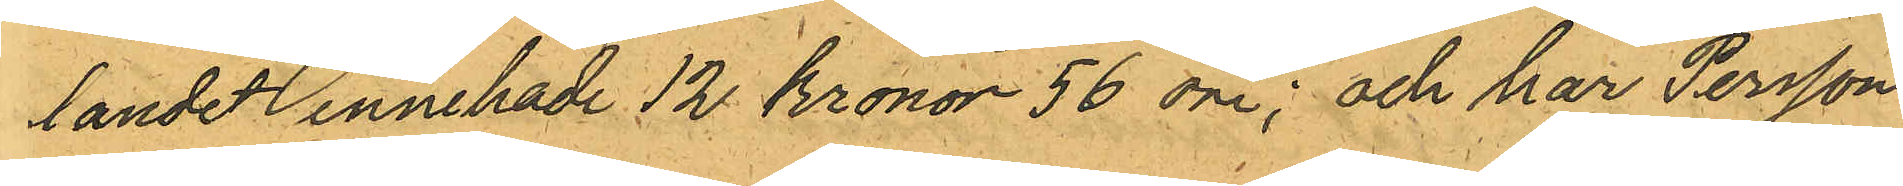landet innehade 12 kronor 56 öre; och har Persson
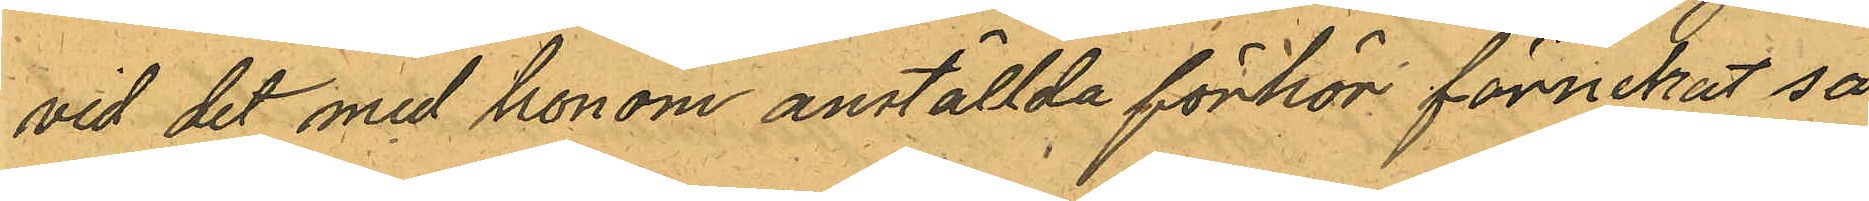vid det med honom anställda förhör förnekat så
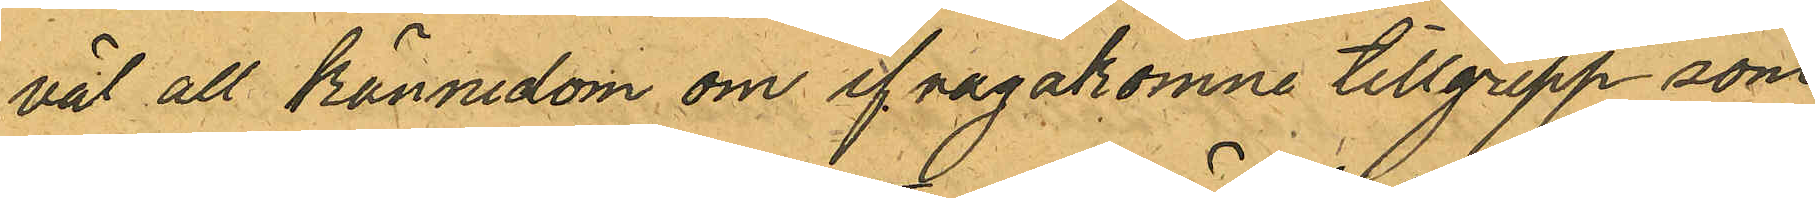väl all kännedom om ifrågakomne tillgrepp som
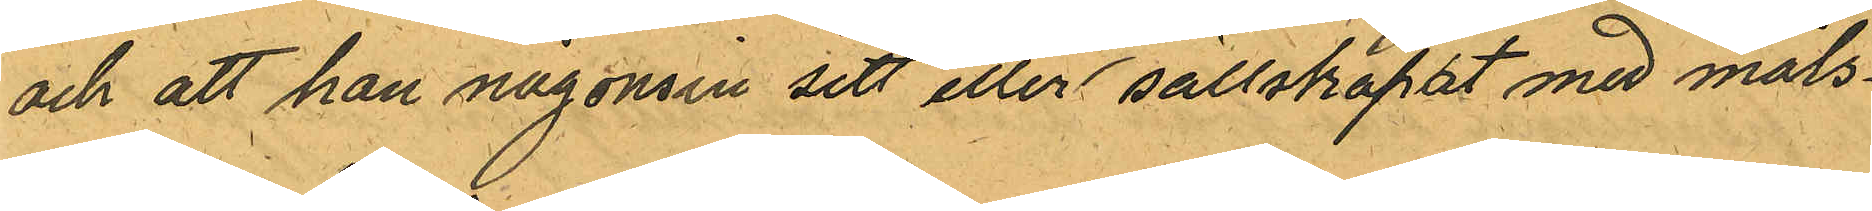och att han någonsin sett eller sällskapat med måls¬
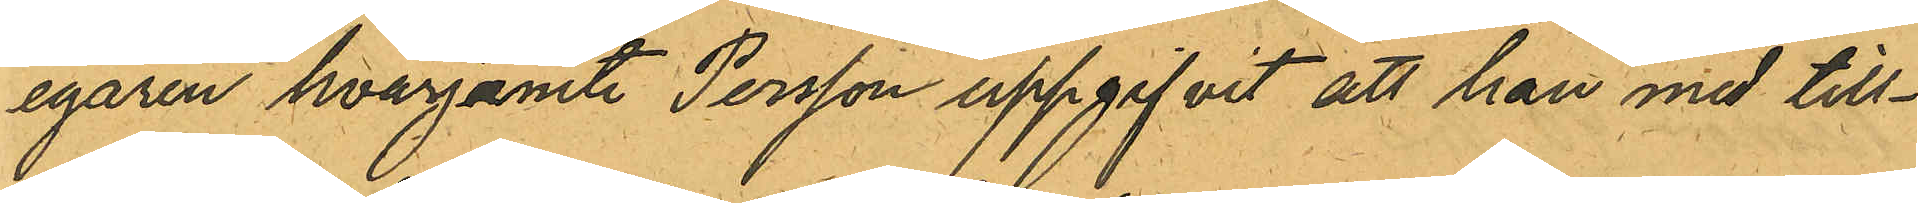egaren hvarjemte Persson uppgifvit att han med till¬
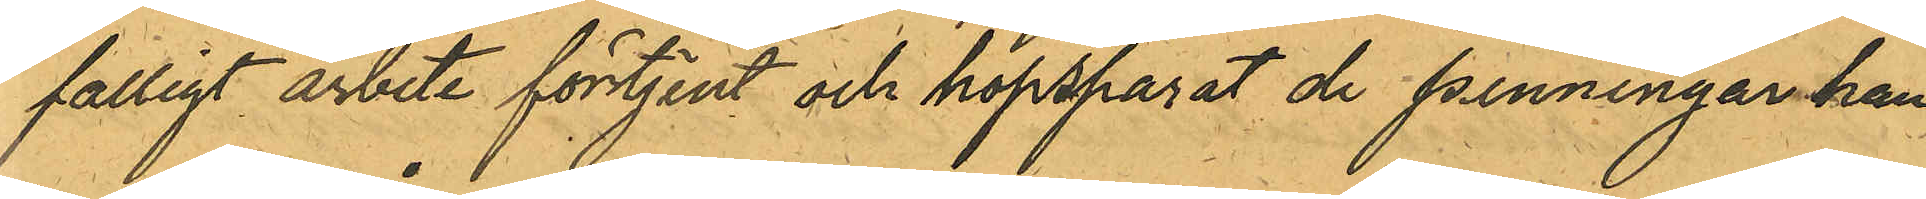falligt arbete förtjent och hopsparat de penningar han
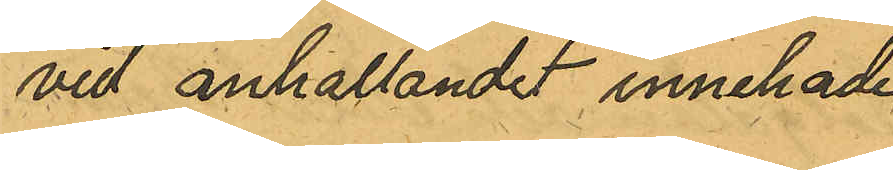vid anhållandet innehade.
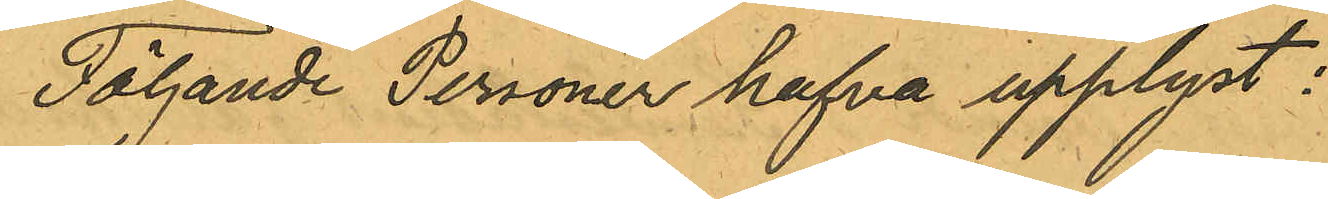Följande Personer hafva upplyst:
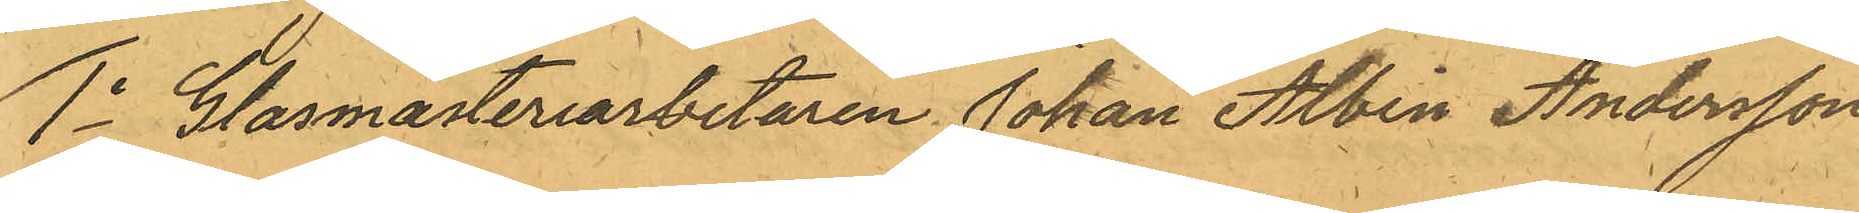1o Glasmästeriarbetaren Johan Alvin Andersson
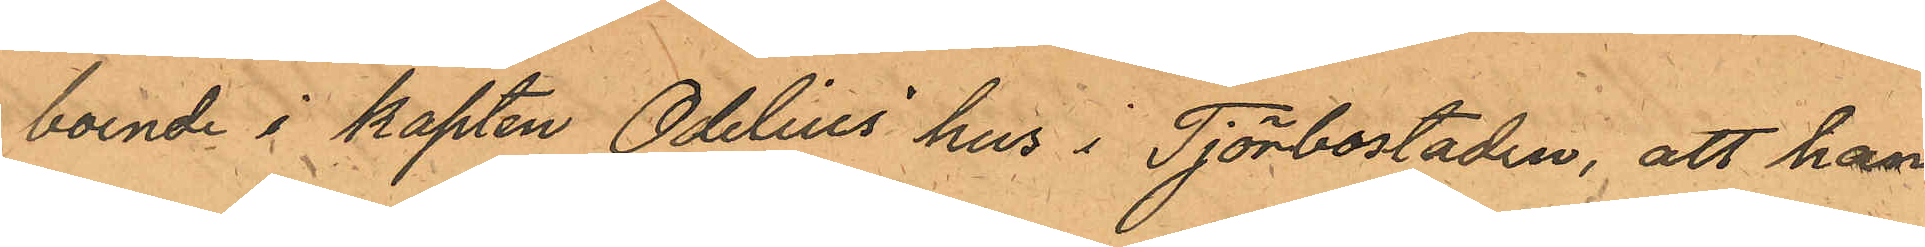boende i kapten Odelius hus' i Tjörbostaden, att han
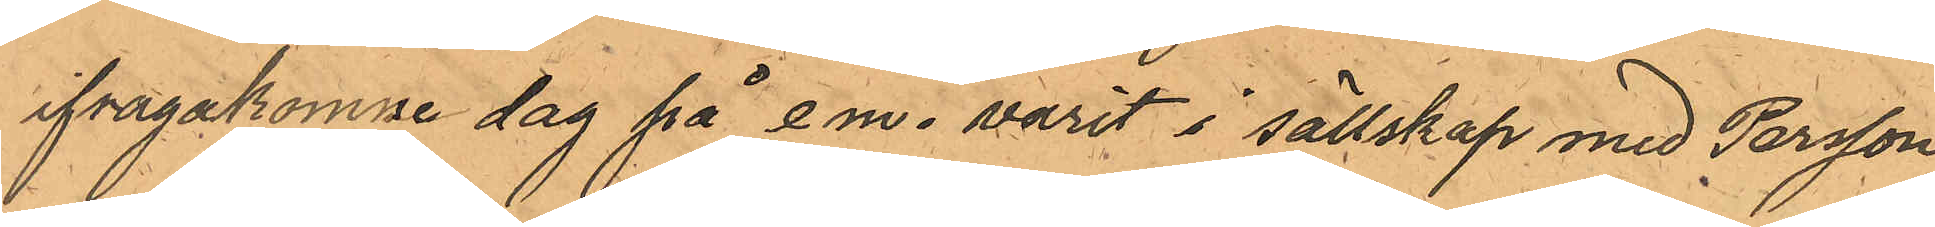ifragakomne dag på e m. varit i sällskap med Persson,
